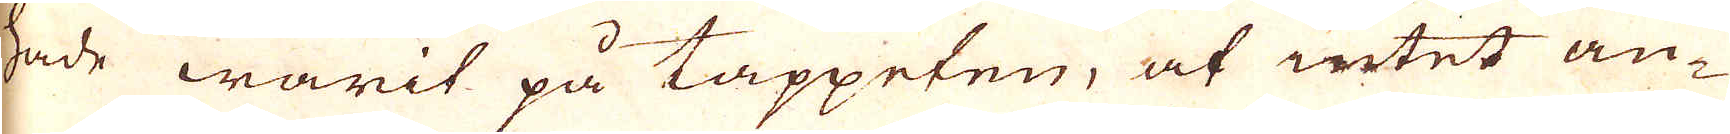hade warit på tappeten, at intet an-
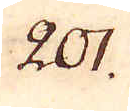201.
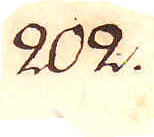202.
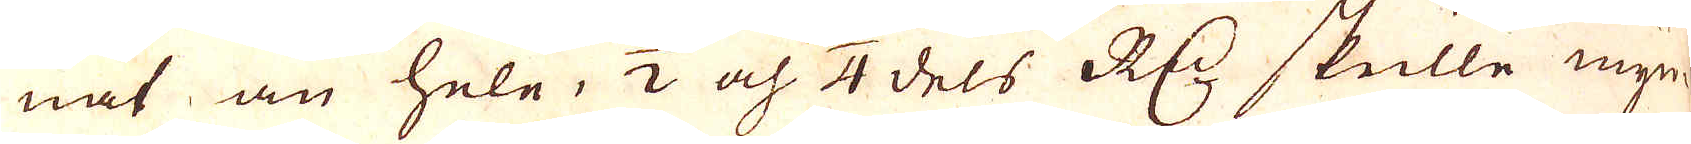nat än hele, 1/2 och 1/4 dels R:dr skulle myn-
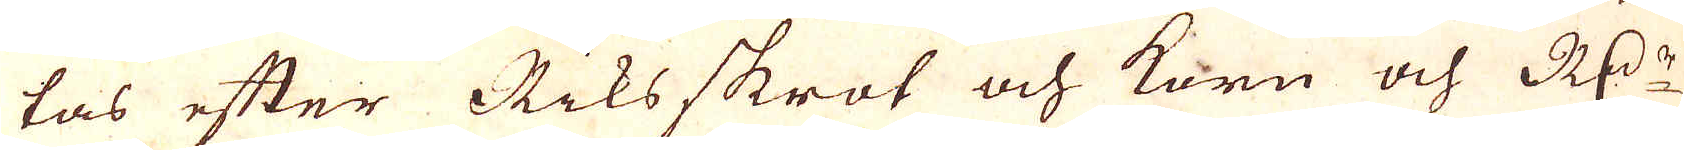tas efter Riksskrot och korn och R:dr
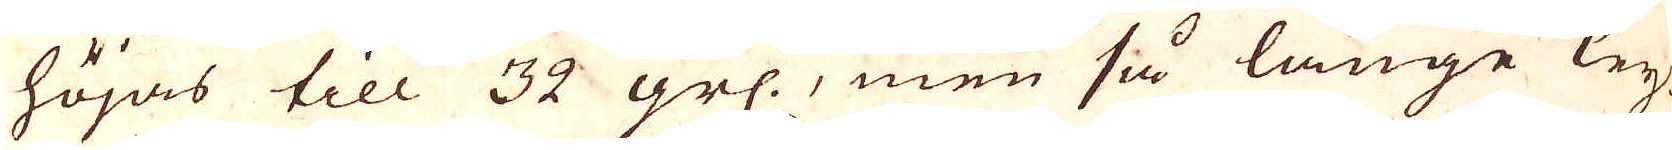höjas till 32 grs., men så länge Key-
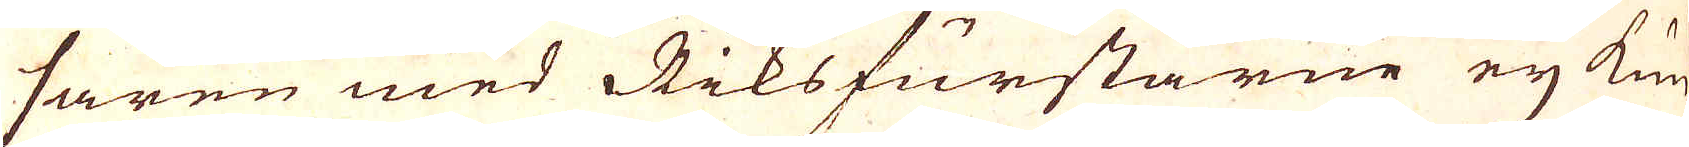saren med Riksfurstarne ej kun-
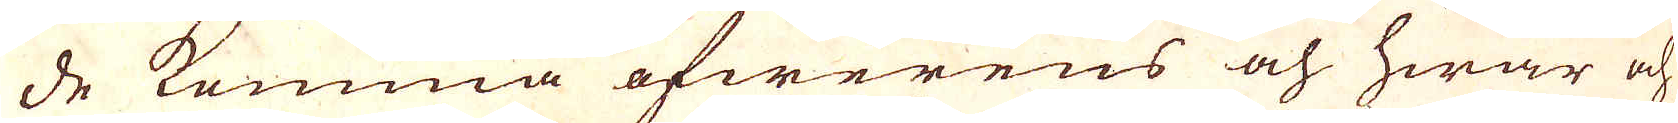de komma öfwerens och hwar och
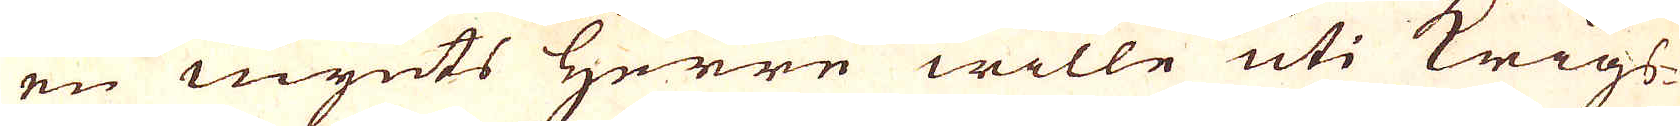en mynts Herre wille uti Krigs-
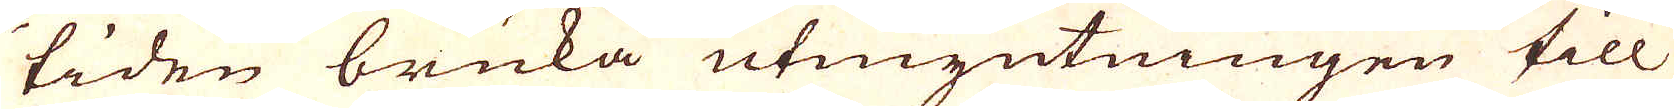tiden bruka utmyntningen till
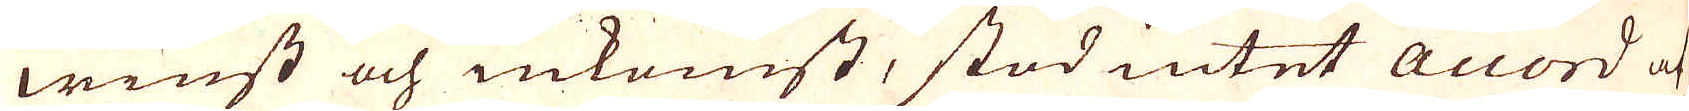winst och inkomst, stod intet Accord at
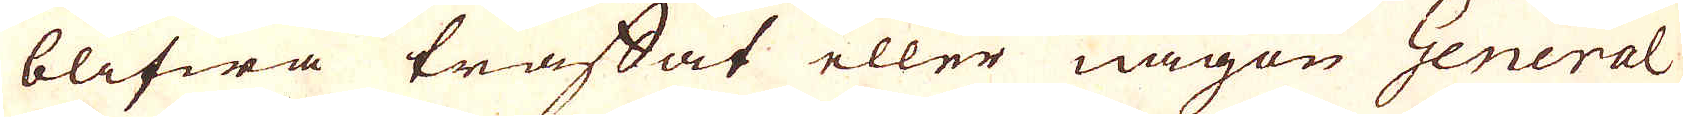blifwa träffat eller någon General
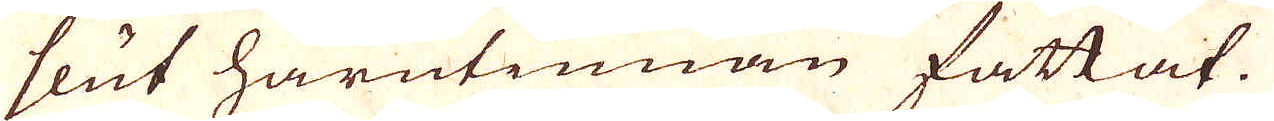slut härutinnan fattat.
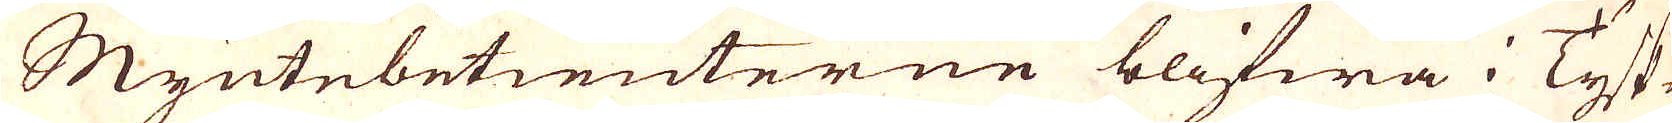Myntebetienterne blifwa i Tysk-
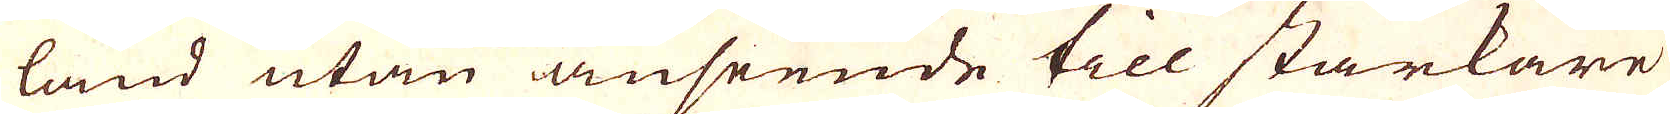land utan anseende till starkare
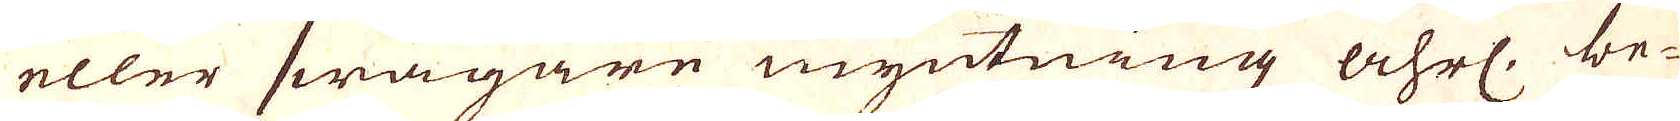eller swagare myntning åhrl, be-
